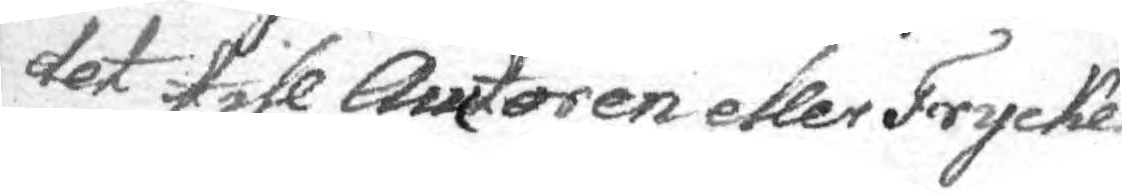det till Auctoren eller Trycke¬
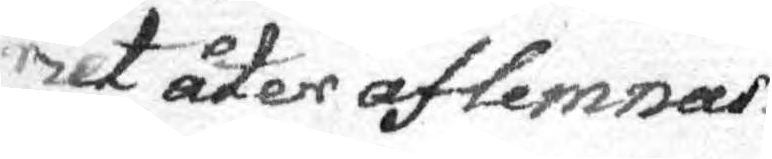riet åter aflemnar.
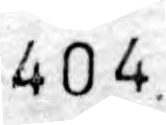404
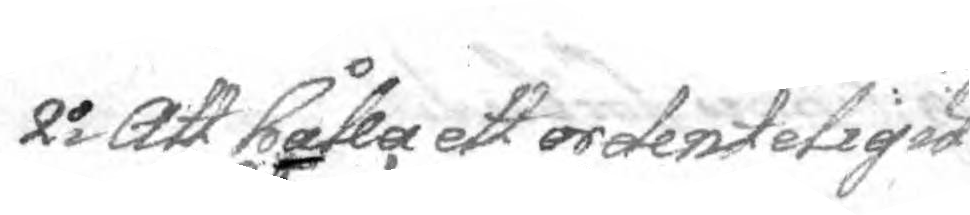2o Att hålla ett ordenteligit
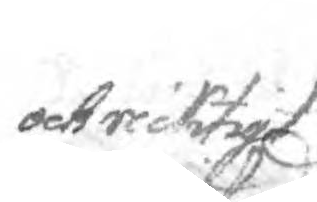och riktigt
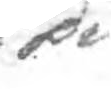di¬
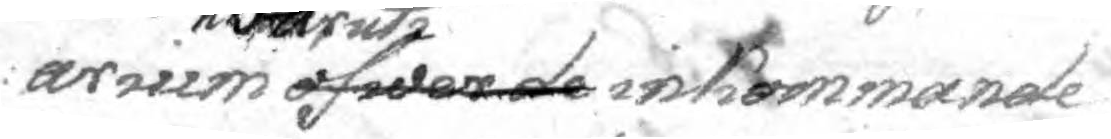arium öfwer de hwaruti inkommande
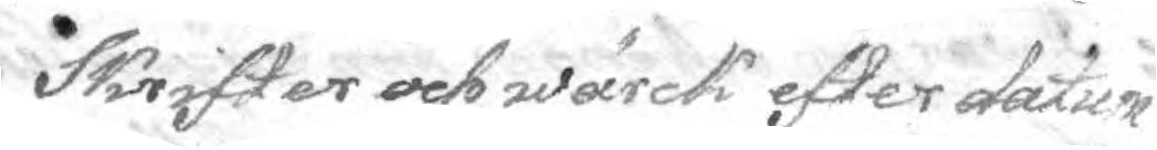Skrifter och wärck efter datum
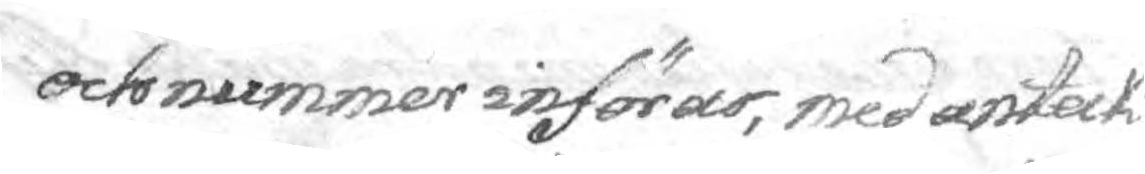och nummer införar, med anteck¬
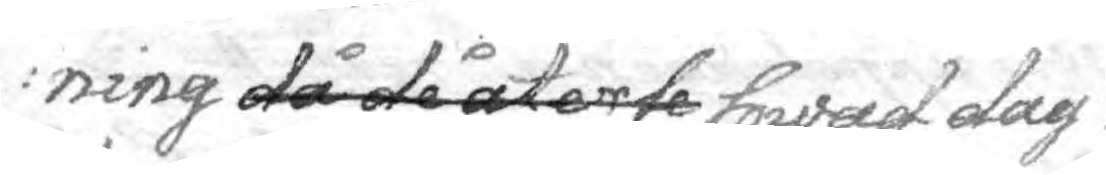ning då de återte hwad dag
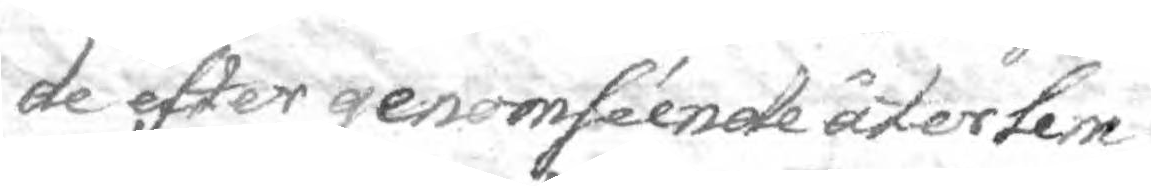de efter genomséende återlem¬
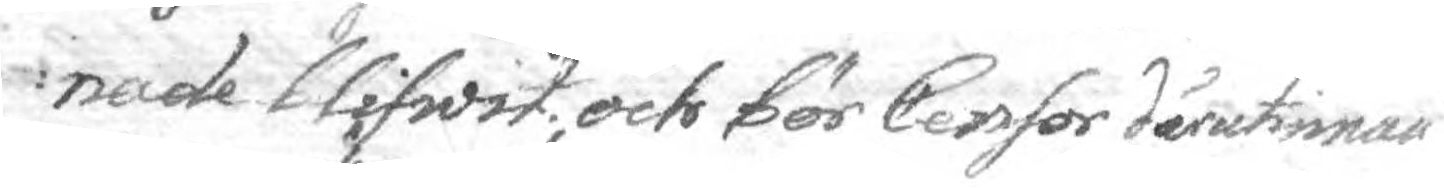nade blifwit, och bör Censor därutinnan
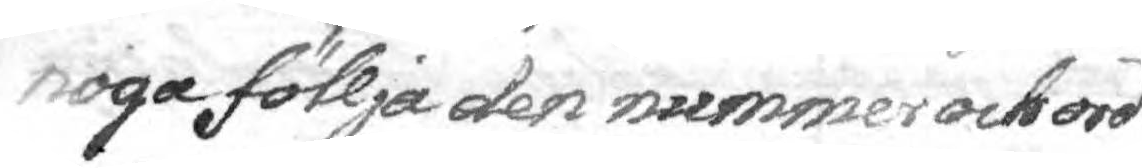noga föllja den nummer och ord¬
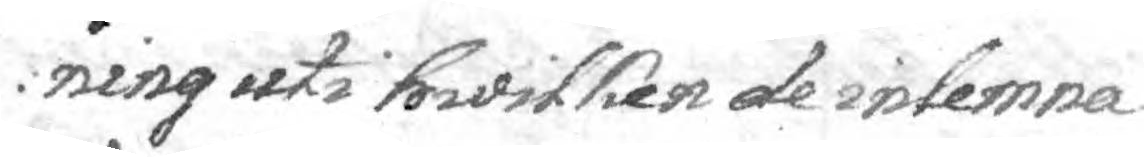ning uti hwilken de inlemna¬
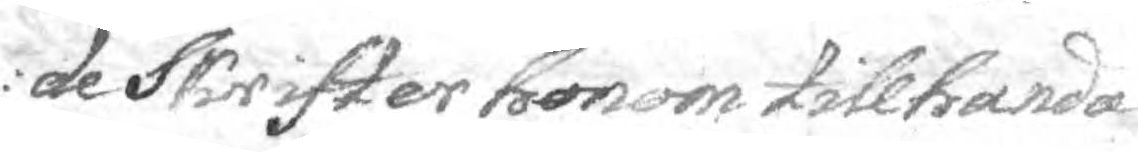de Skrifter honom tillhanda
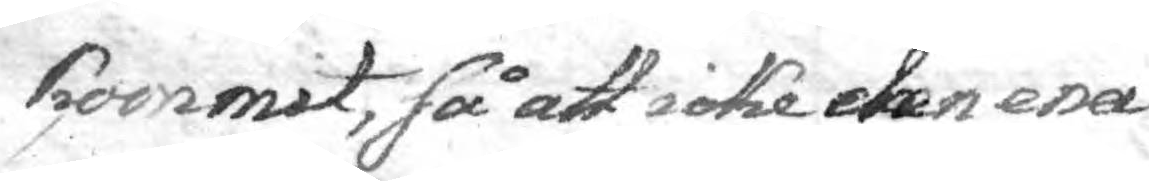kommit, så att icke den ena
